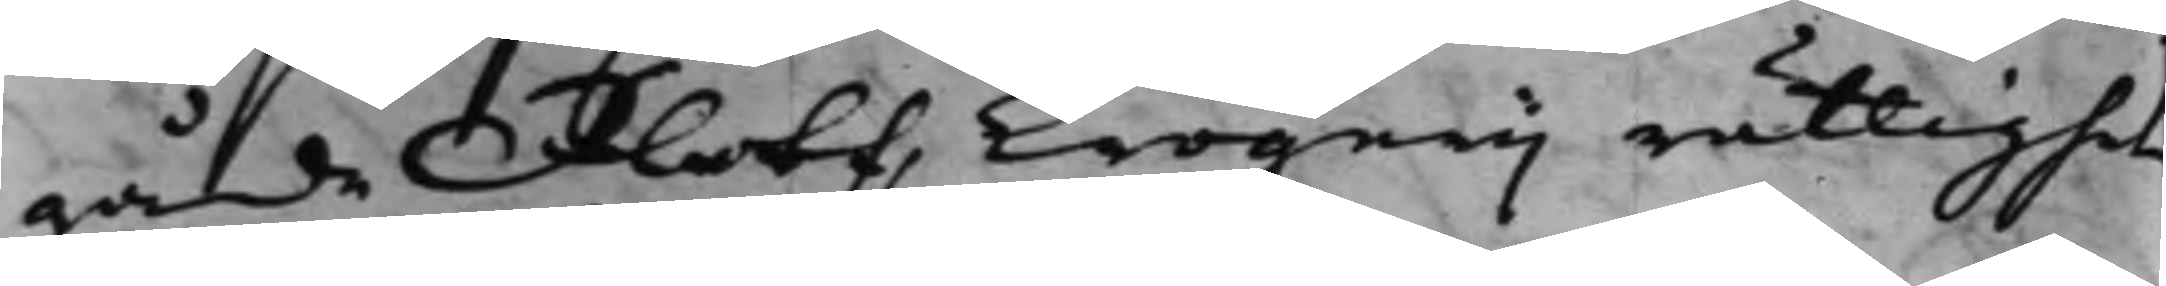gåde Flots Krögerij rättighet
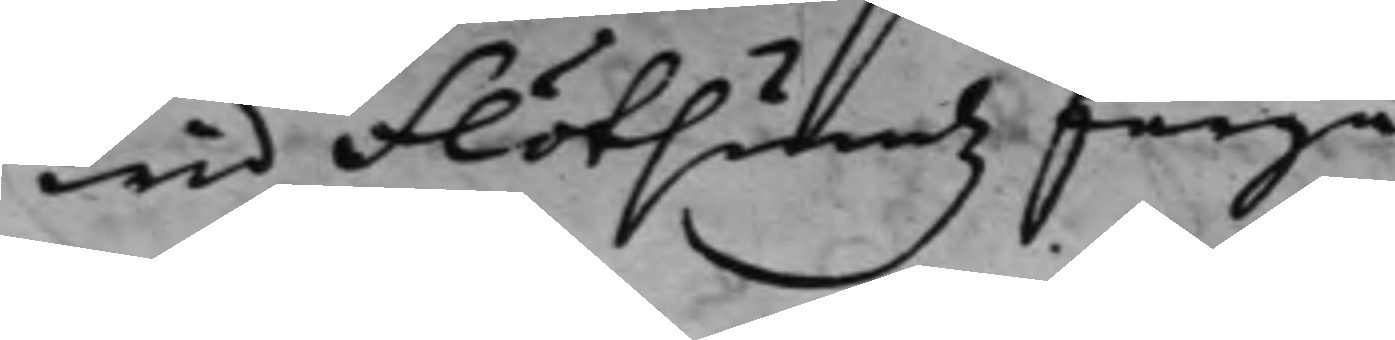wid Flötsundz färja
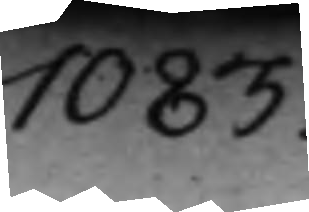1083.
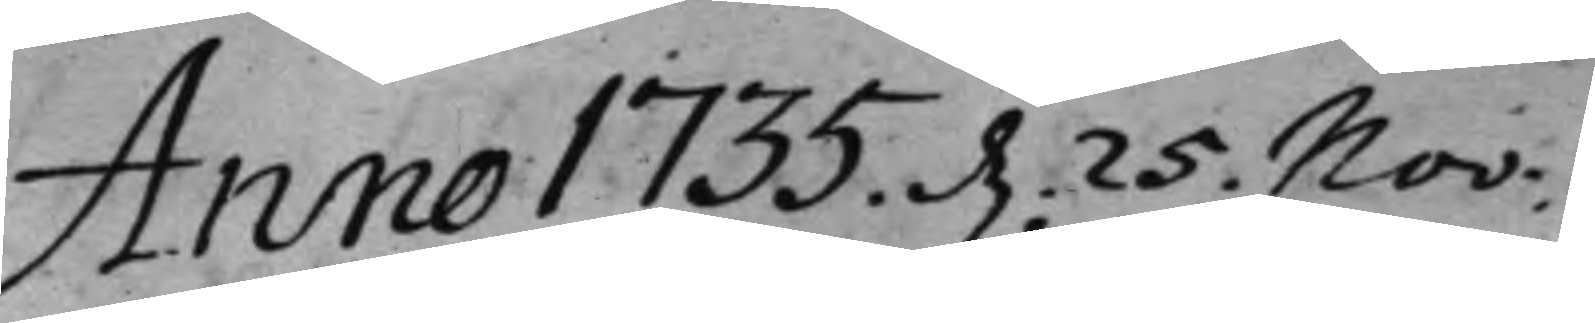Anno 1735 d. 25. Nov:
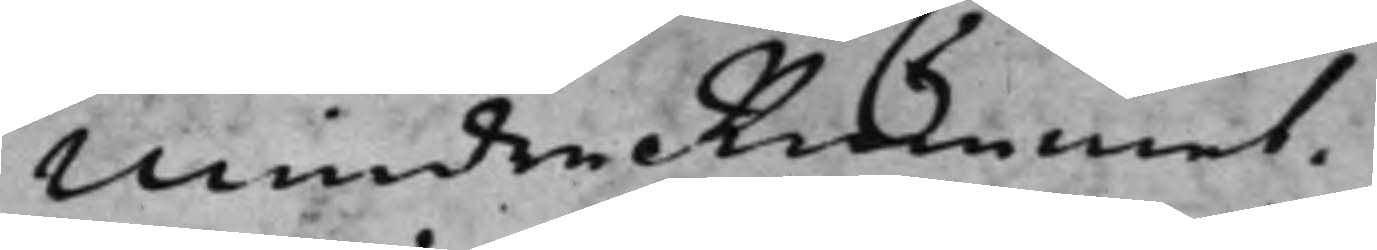Mindre Rummet.
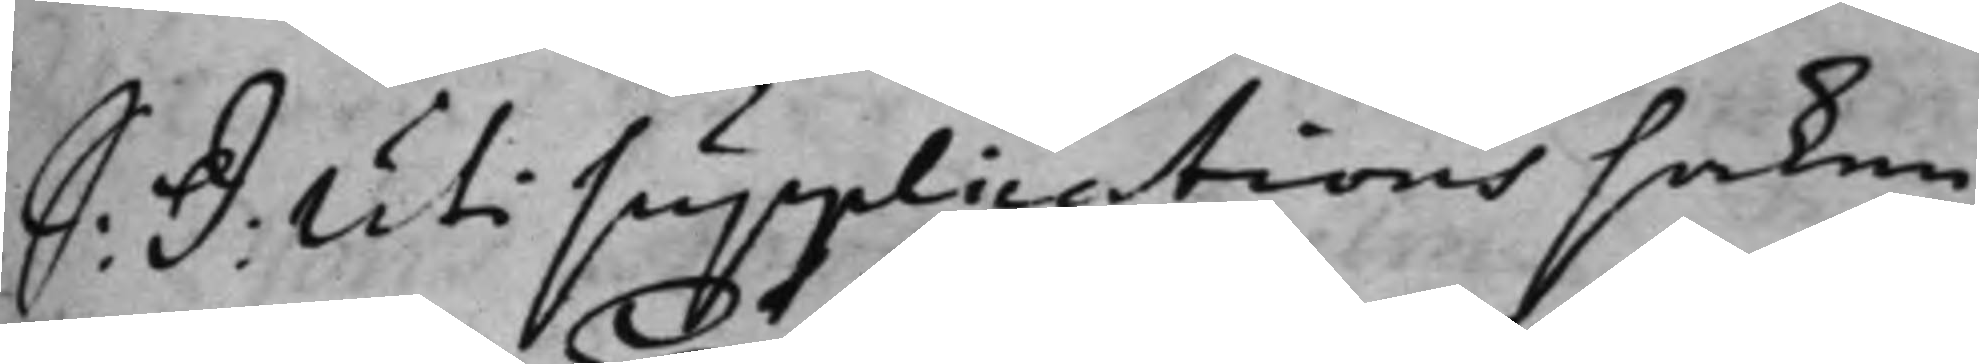S: D: Uti Supplications saken
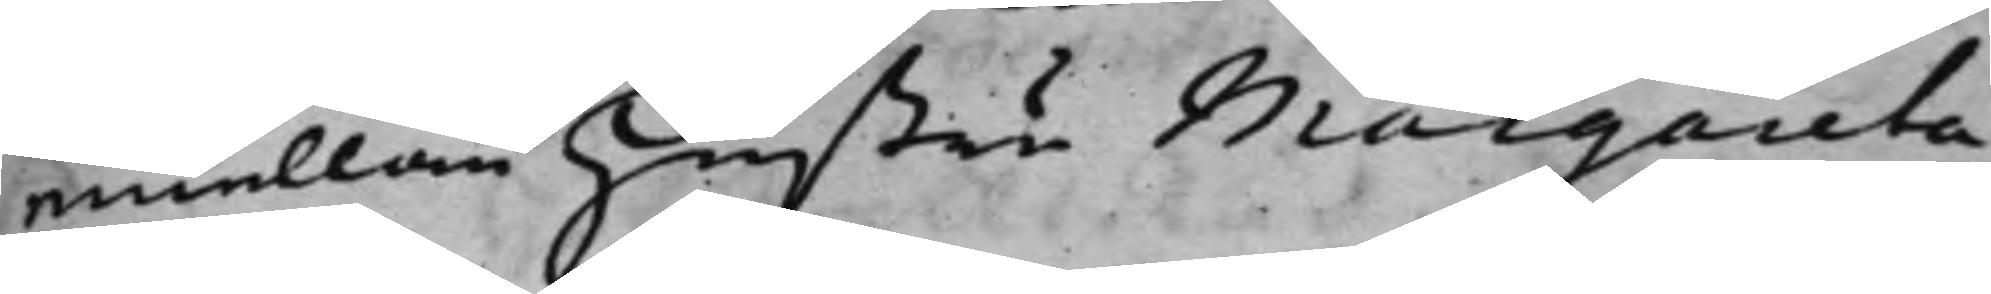emellan hustru Margareta
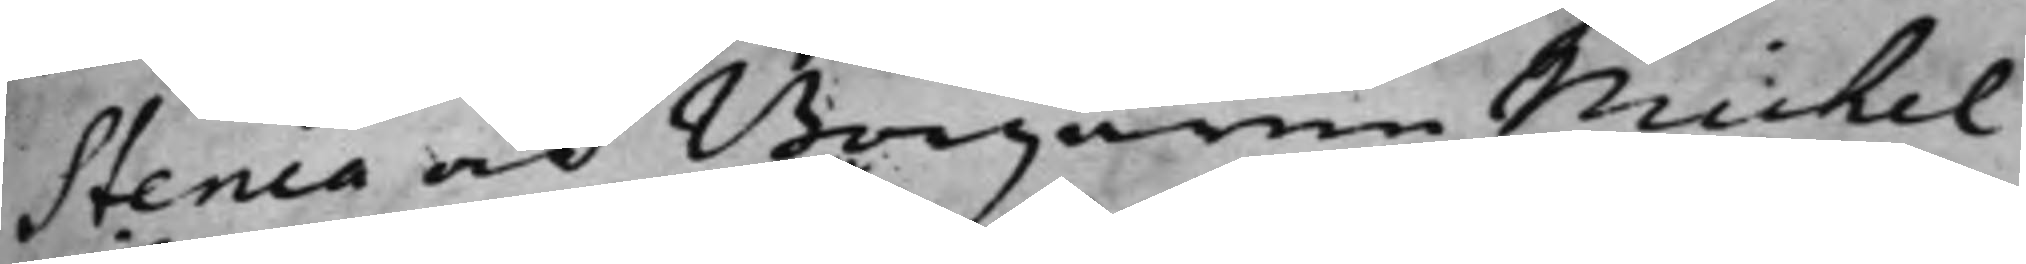Stenia och Borgaren Michel
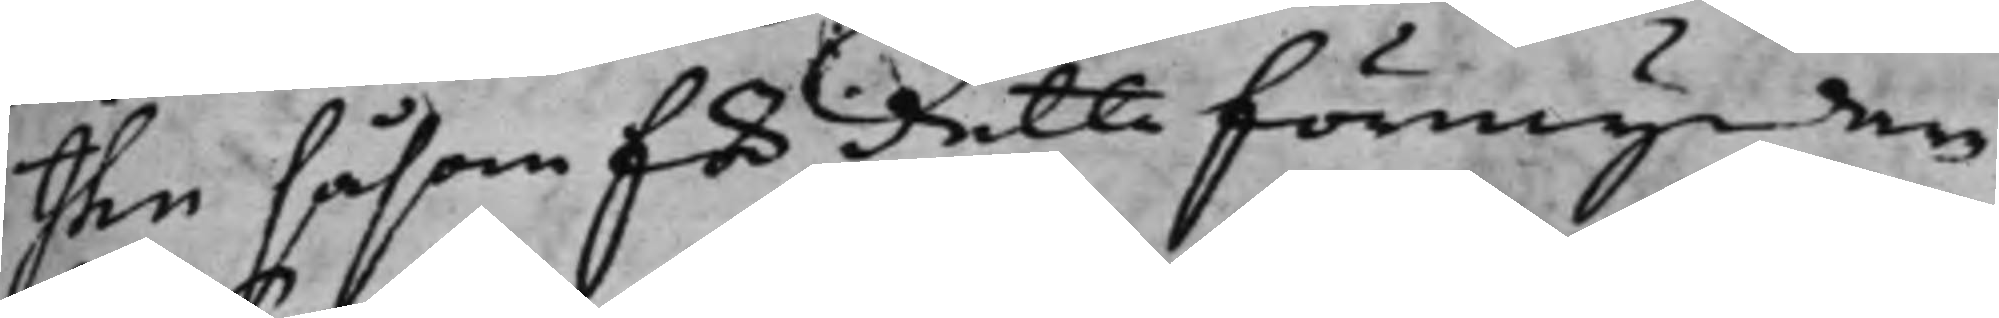Ihn såsom för detta förmyndare
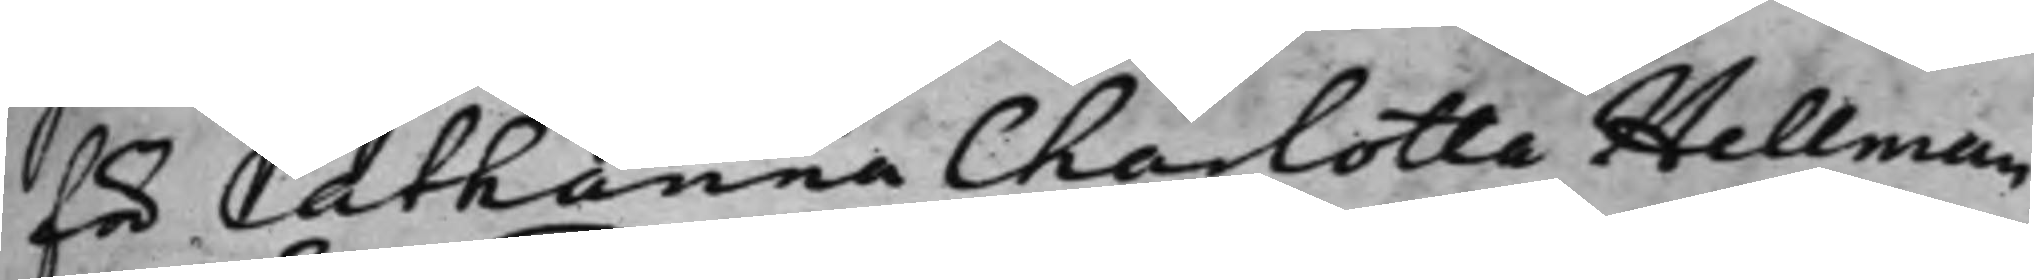för Catharina Charlotta Hellman
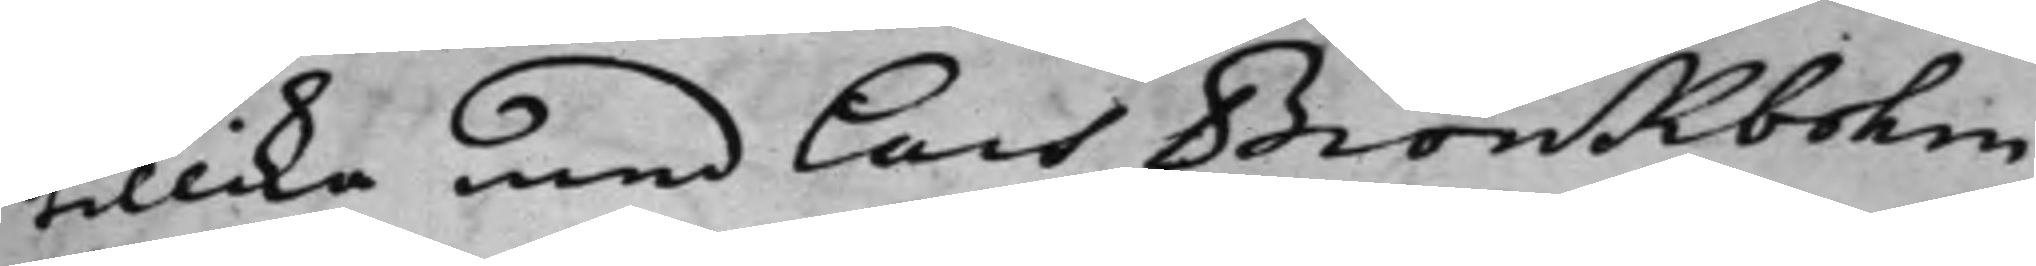tillika med Lars Biörkbohm
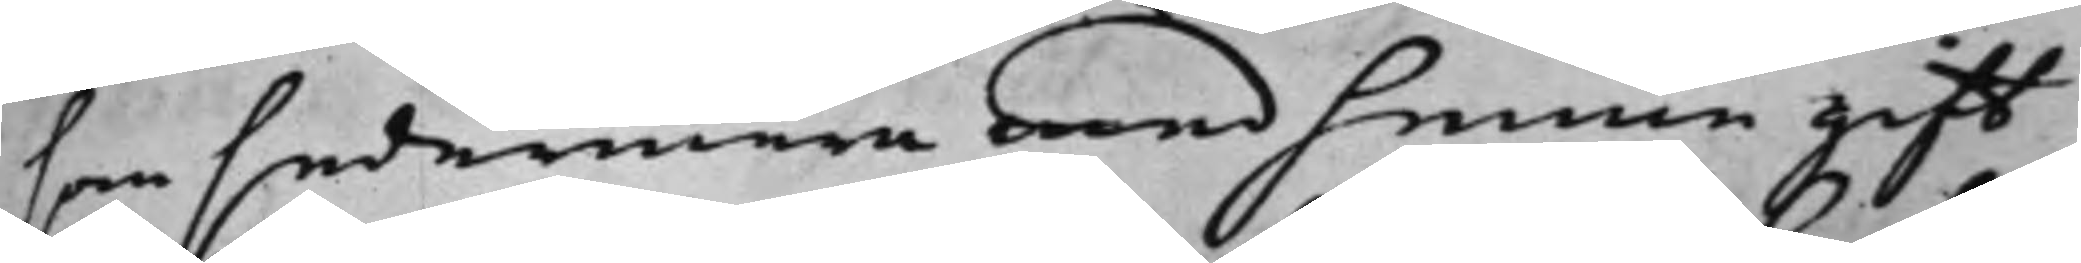som sedermera med henne gift
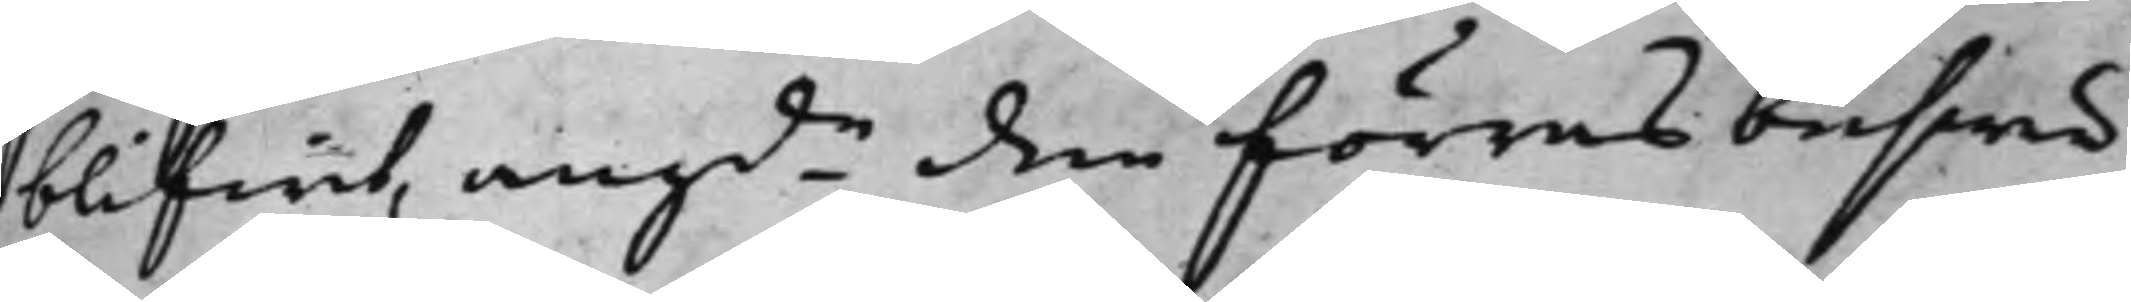blifwit, angde den förras beswär
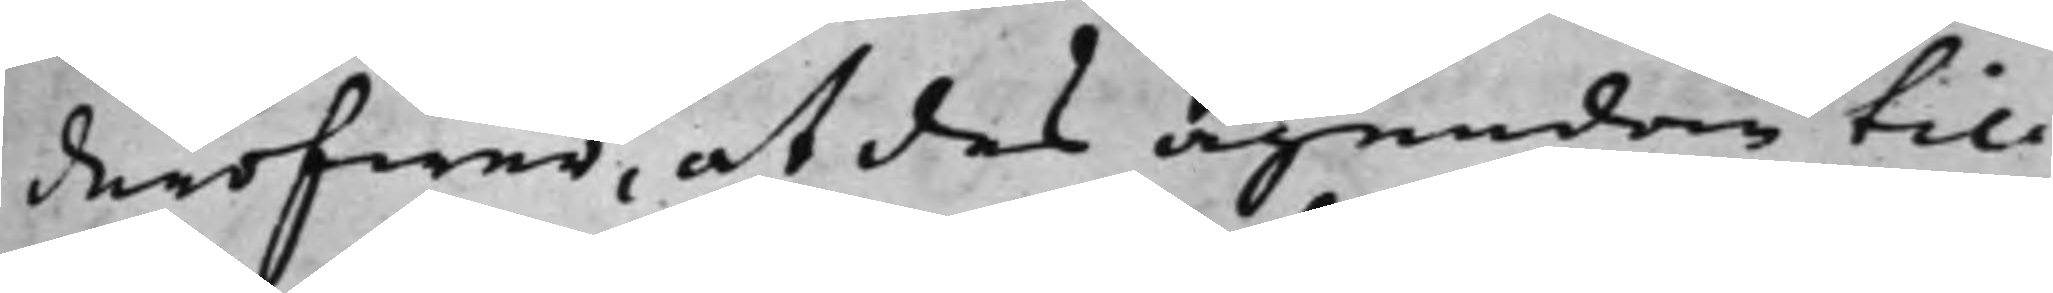deröfwer, at des ägendom til
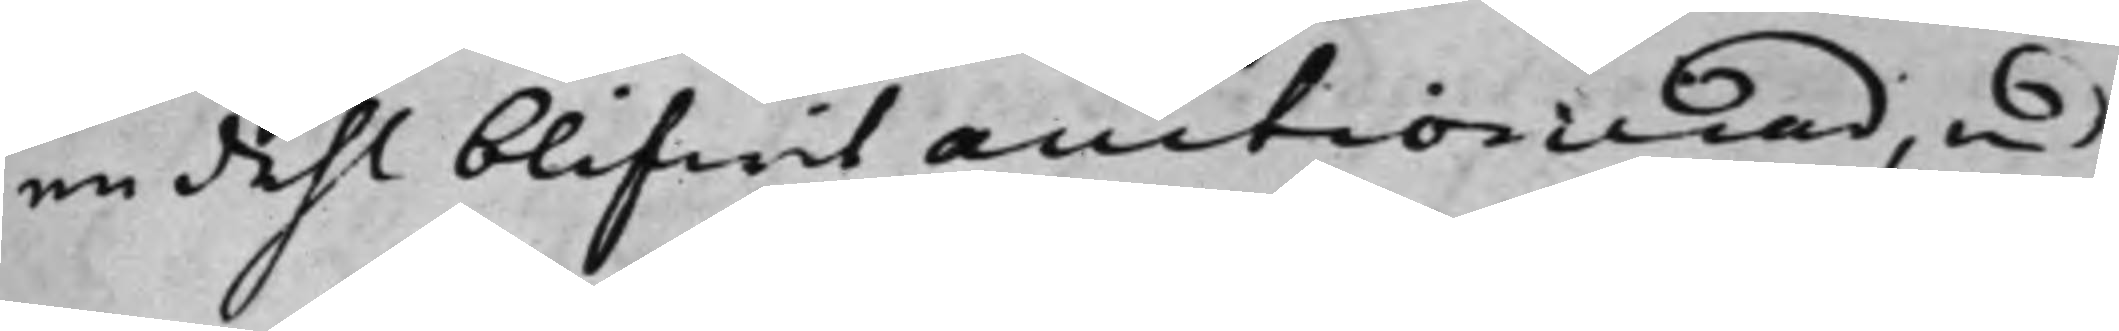en dehl blifwit auctionerad, med
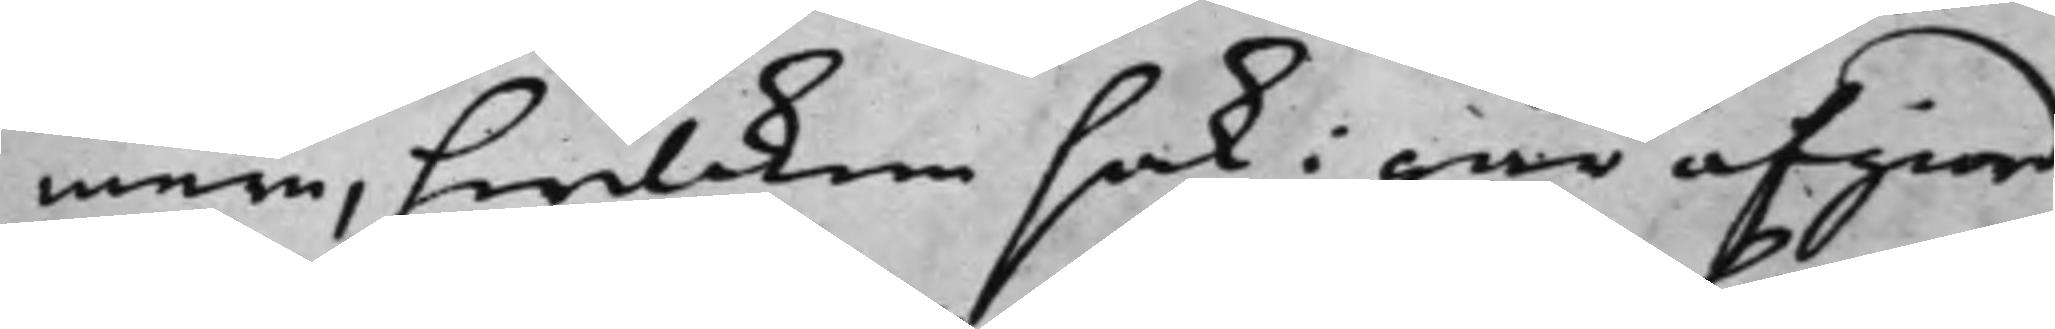mera, hwilcken sak i går afgiord
